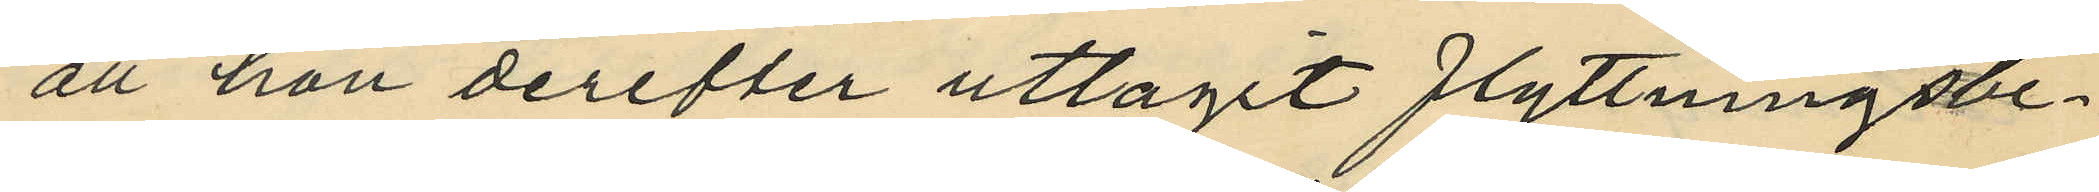att hon derefter uttagit flyttningsbe¬
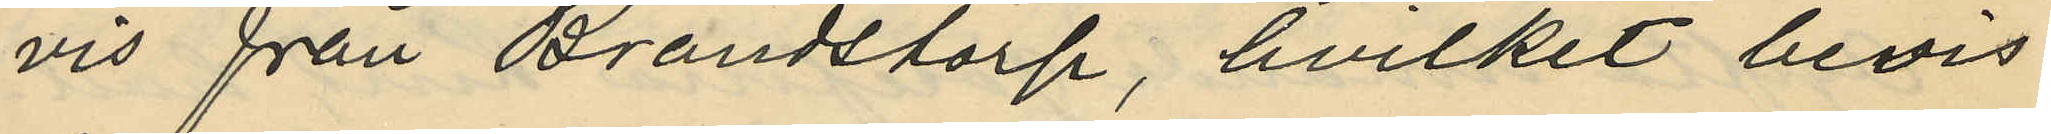vis från Brandstorp, hvilket bevis
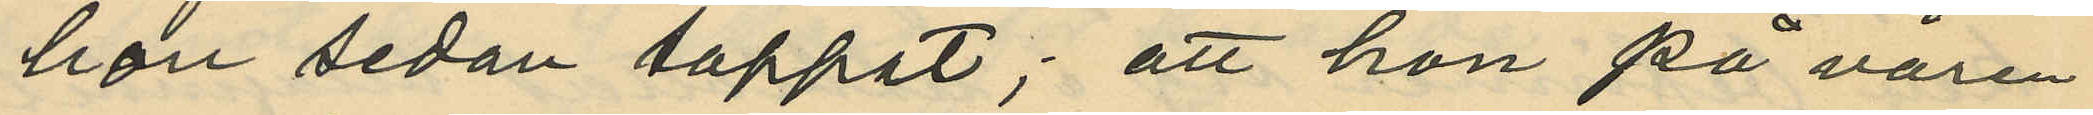hon sedan tappat; att hon på våren
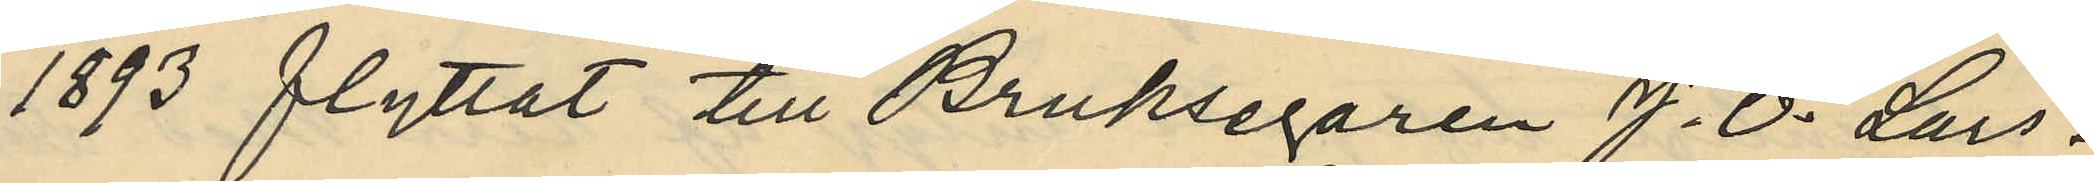1893 flyttat till Bruksegaren J. O. Lars¬
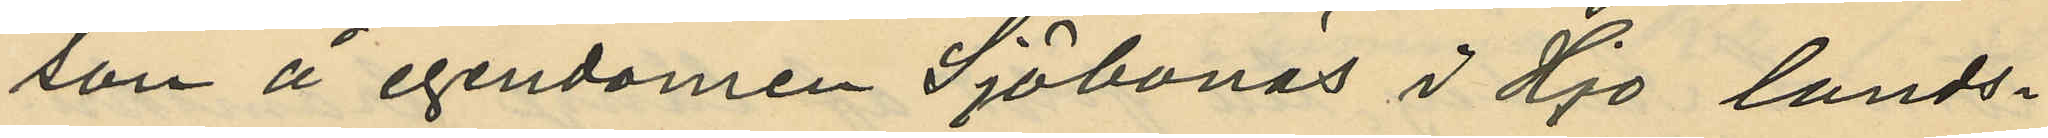son å egendomen Sjöbonäs i Hjo lands¬
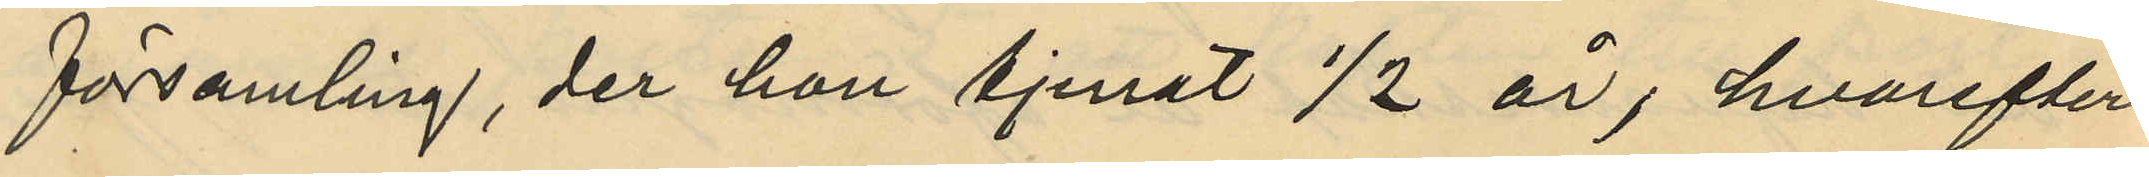församling, der hon tjenat 1/2 år, hvarefter
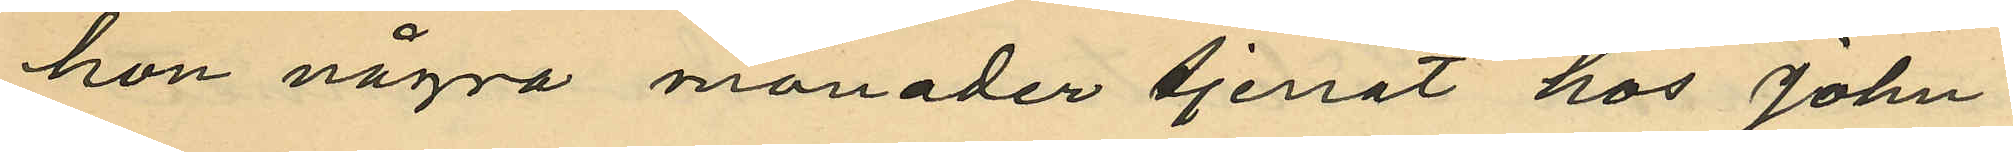hon några månader tjenat hos John
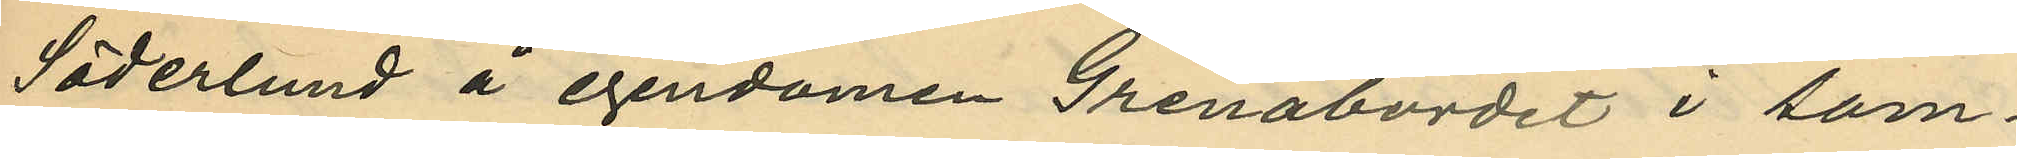Söderlund å egendomen Grenabordet i sam¬
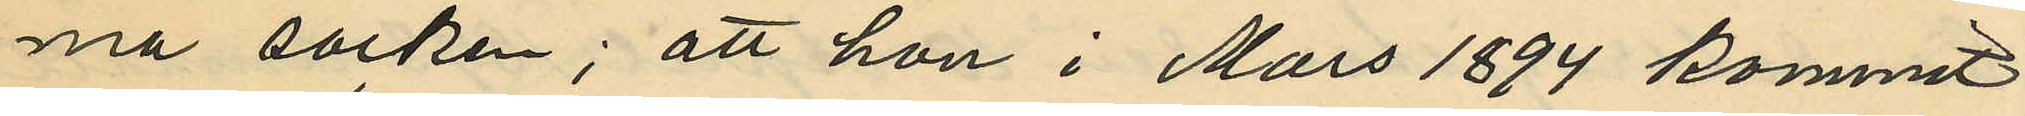ma socken; att hon i Mars 1894 kommit
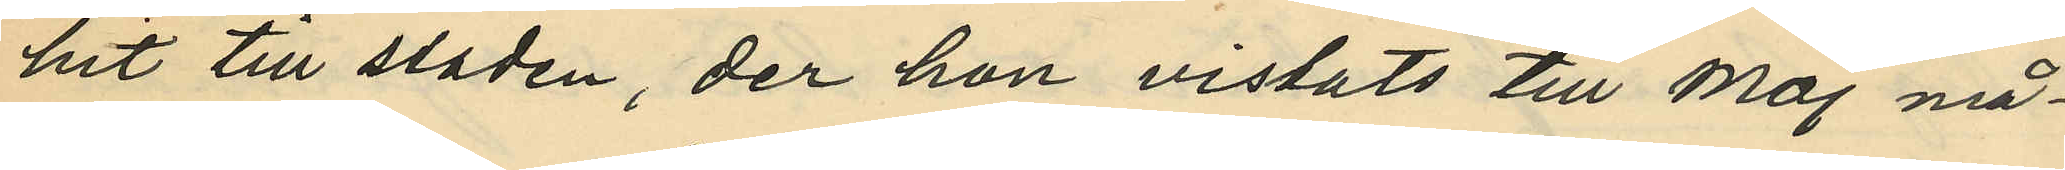hit till staden, der hon vistats till Maj må¬
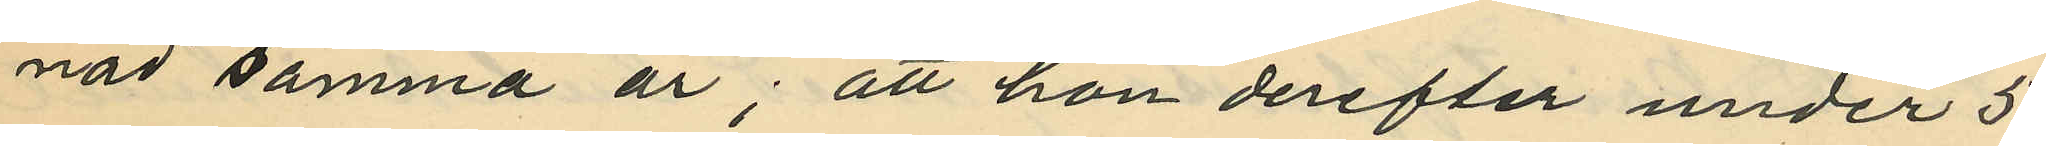nad samma år; att hon derefter under 5
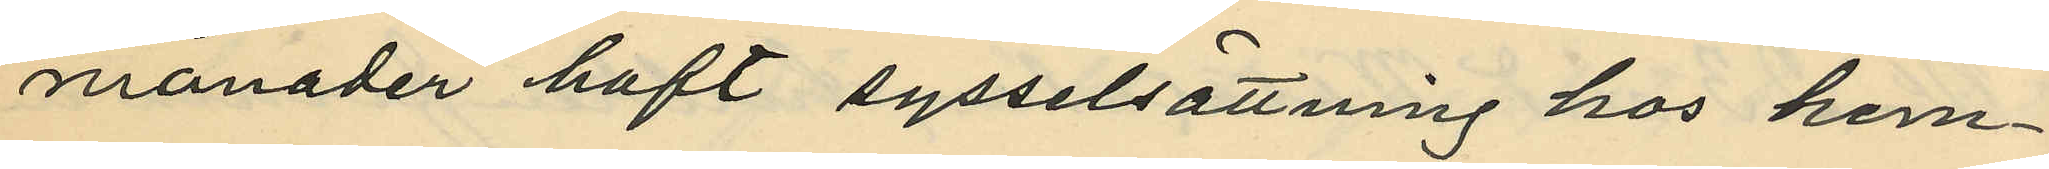månader haft sysselsättning hos hem¬
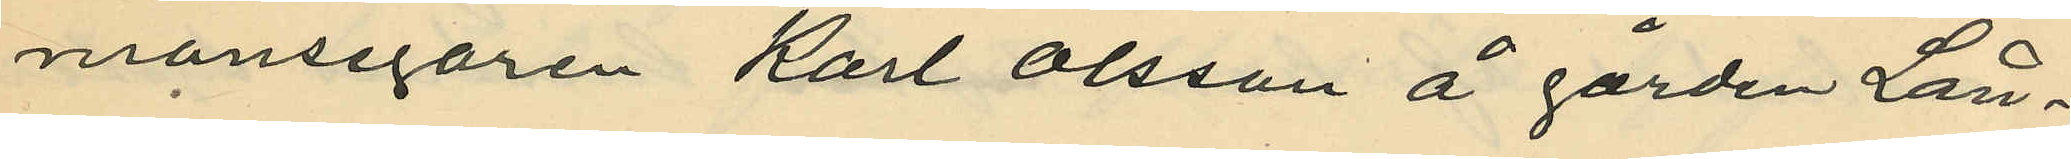mansegaren Karl Olsson å gården Lån¬
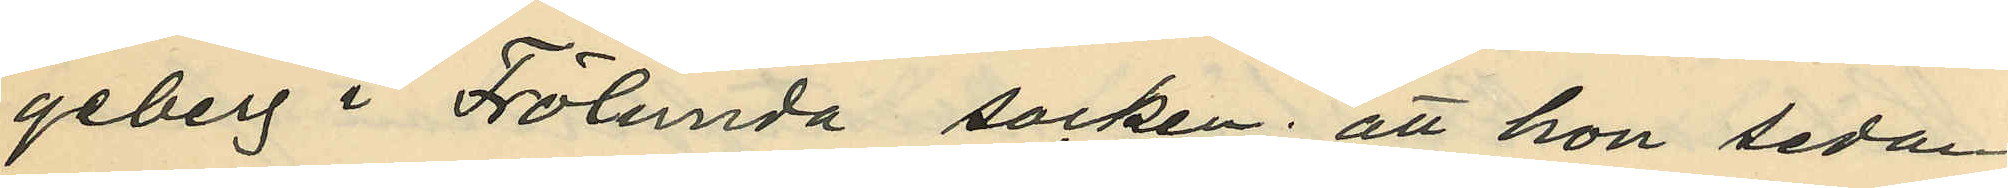geberg i Frölunda socken; att hon sedan
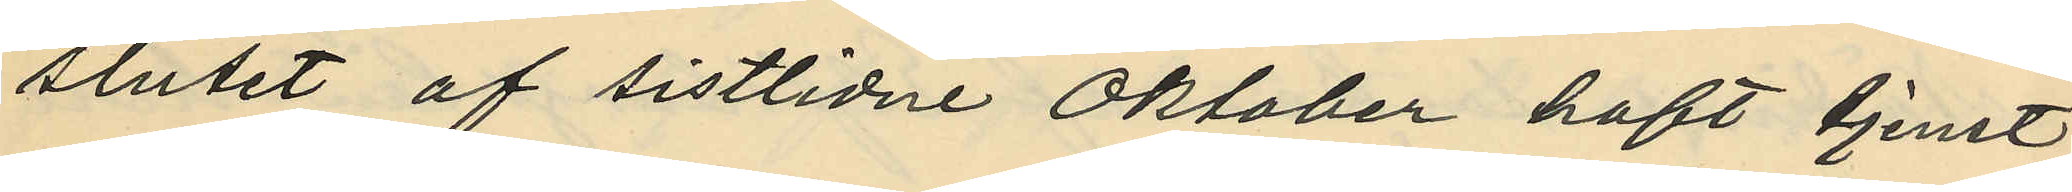slutet af sistlidne Oktober haft tjenst
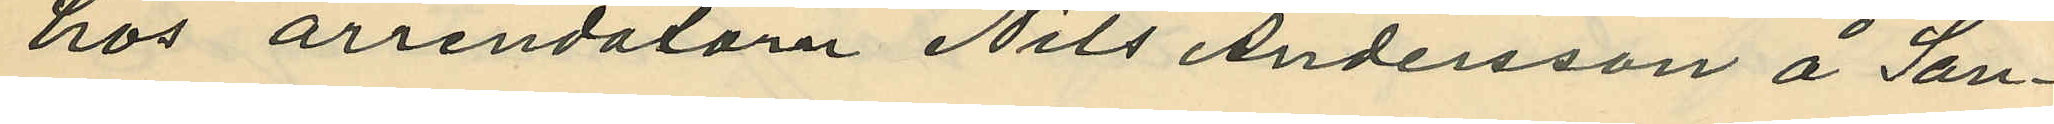hos arrendalorn Nils Andersson å San¬
